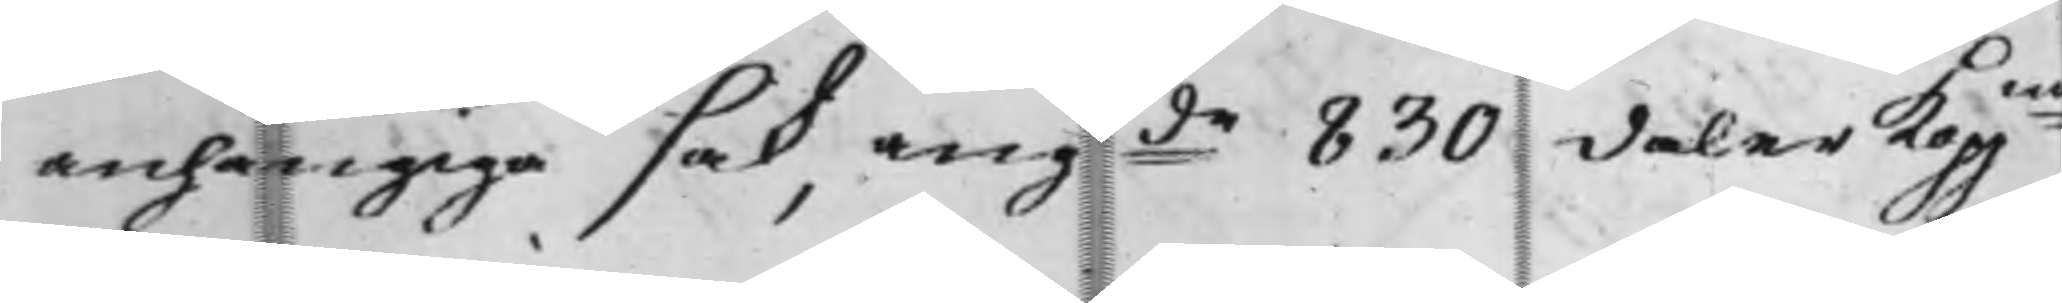anhängiga sak, angde 830 daler Koppmt
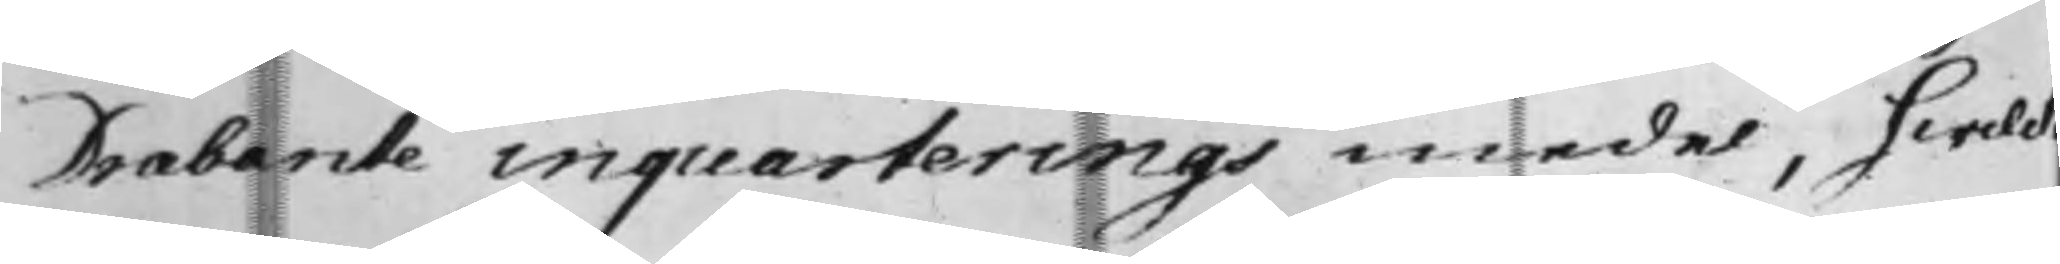Drabante inquarterings medel, hwilck
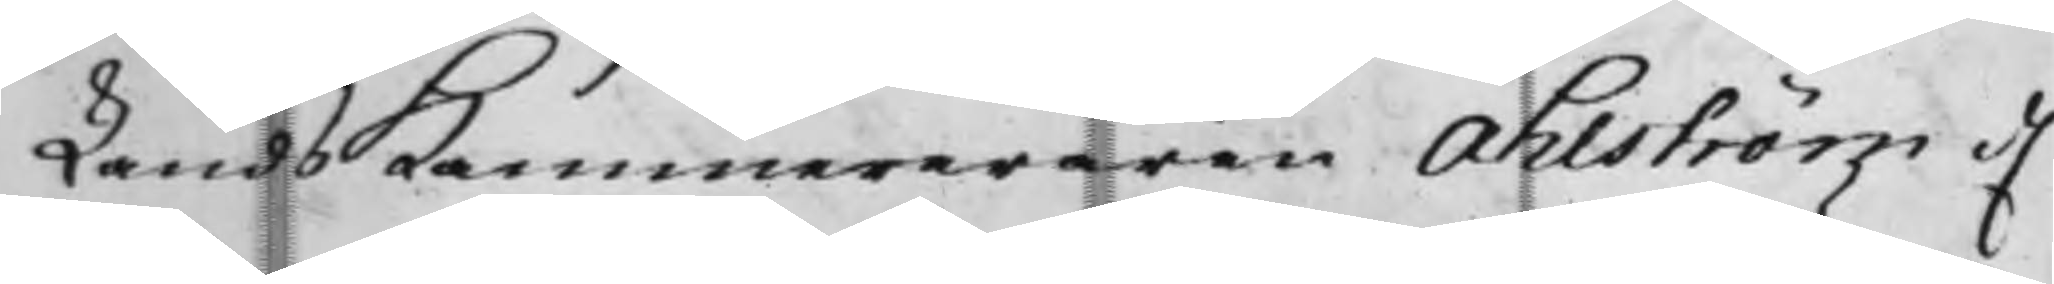LandsKammereraren Ahlström d.
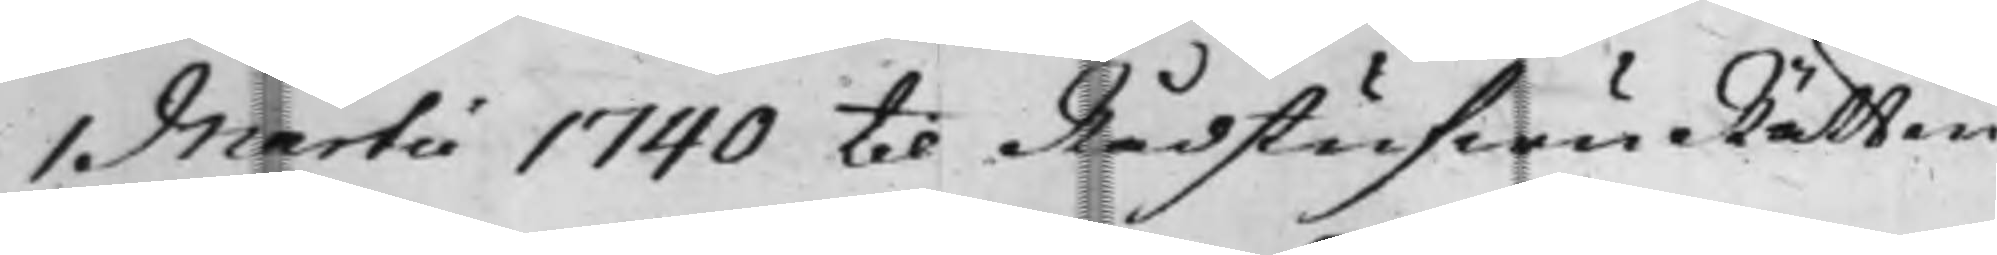1 Martii 1740 til RådstufwuRätten
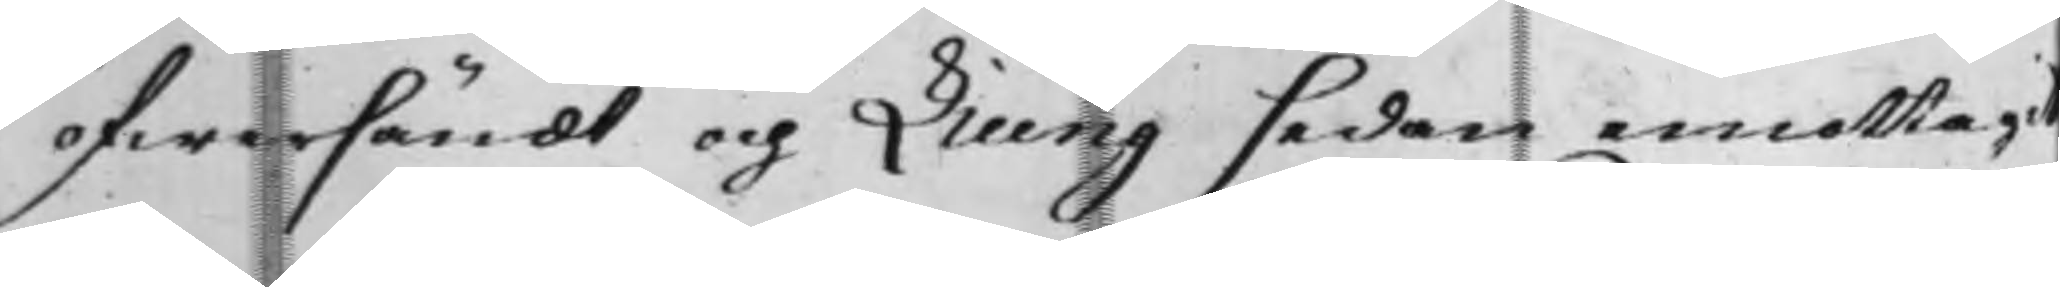öfwersändt och Liung sedan emottagit
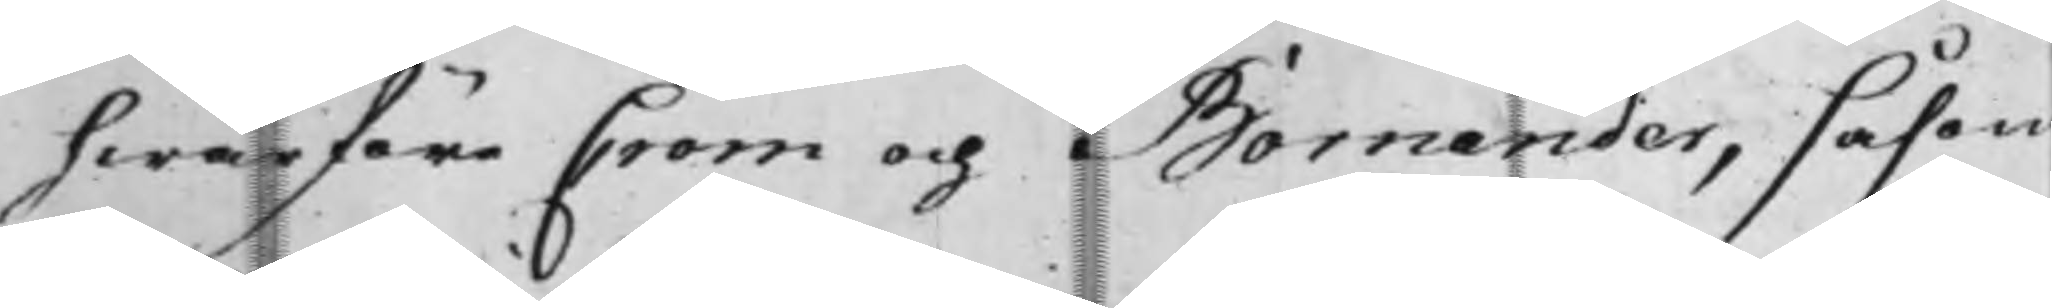hwarföre Crom och Bornander, såsom
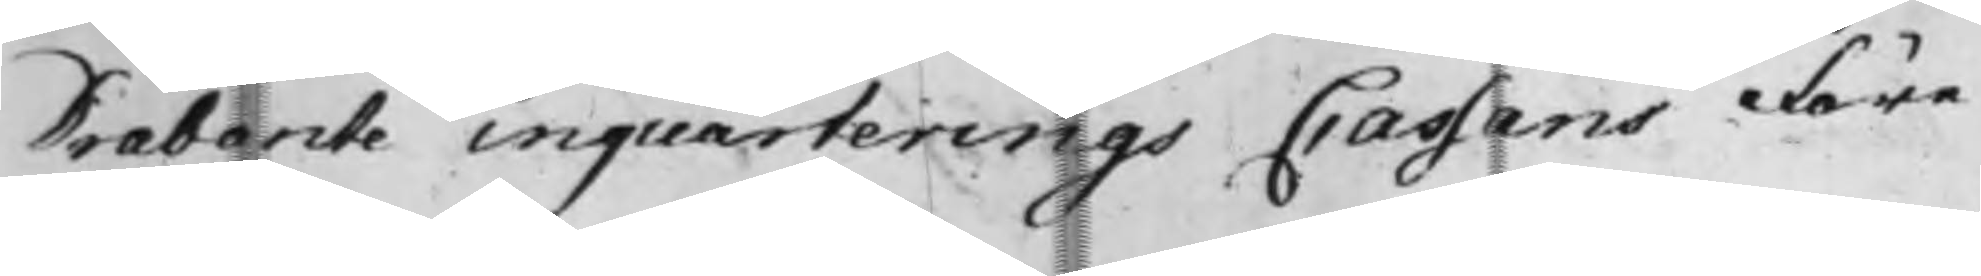Drabarcte inquarterings Cassans Före¬
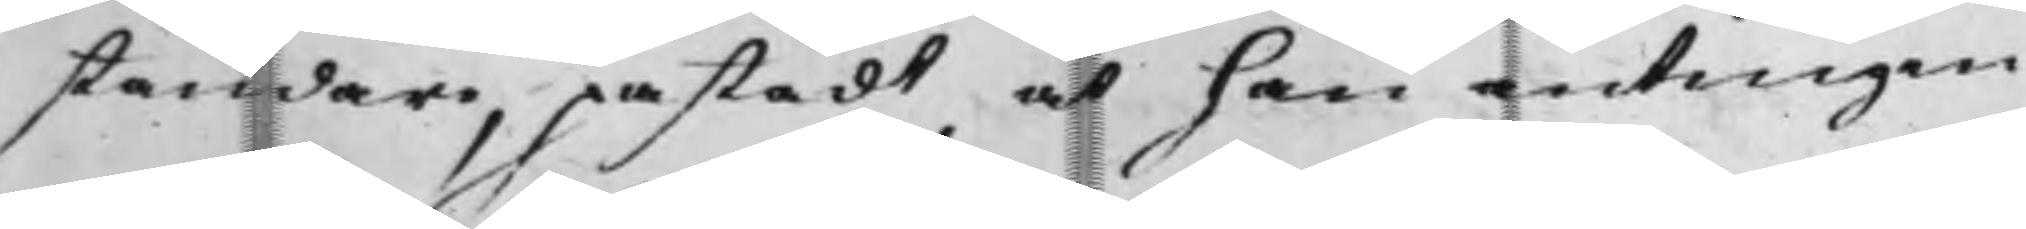ståndare, påstådt at han antingen
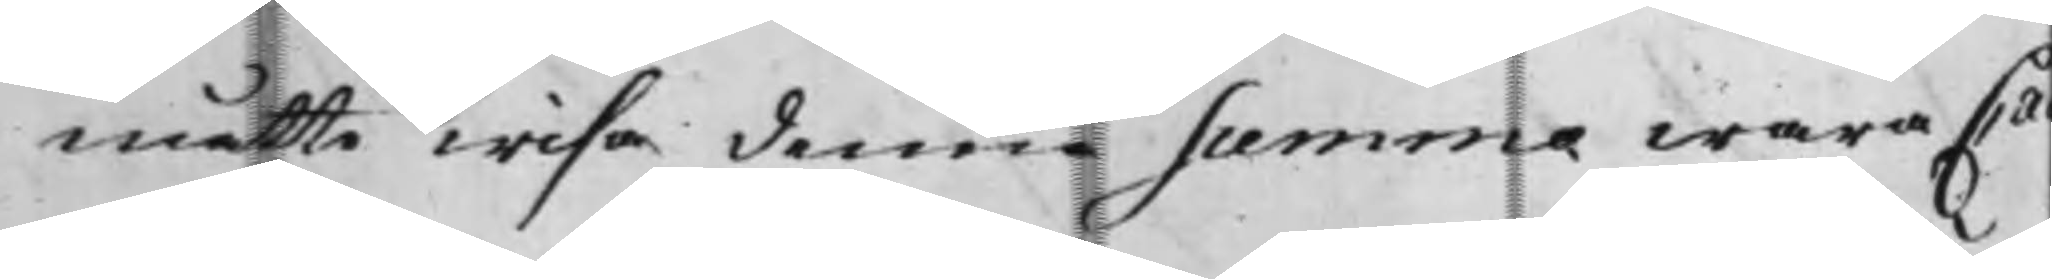måtte wisa denna summa wara Cas¬
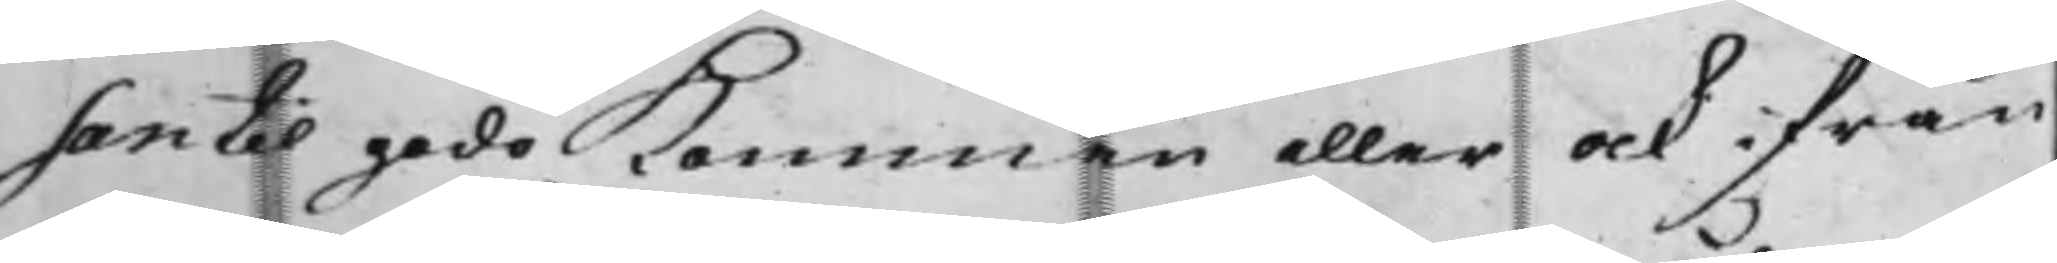san til godo kommen eller ock ifrån
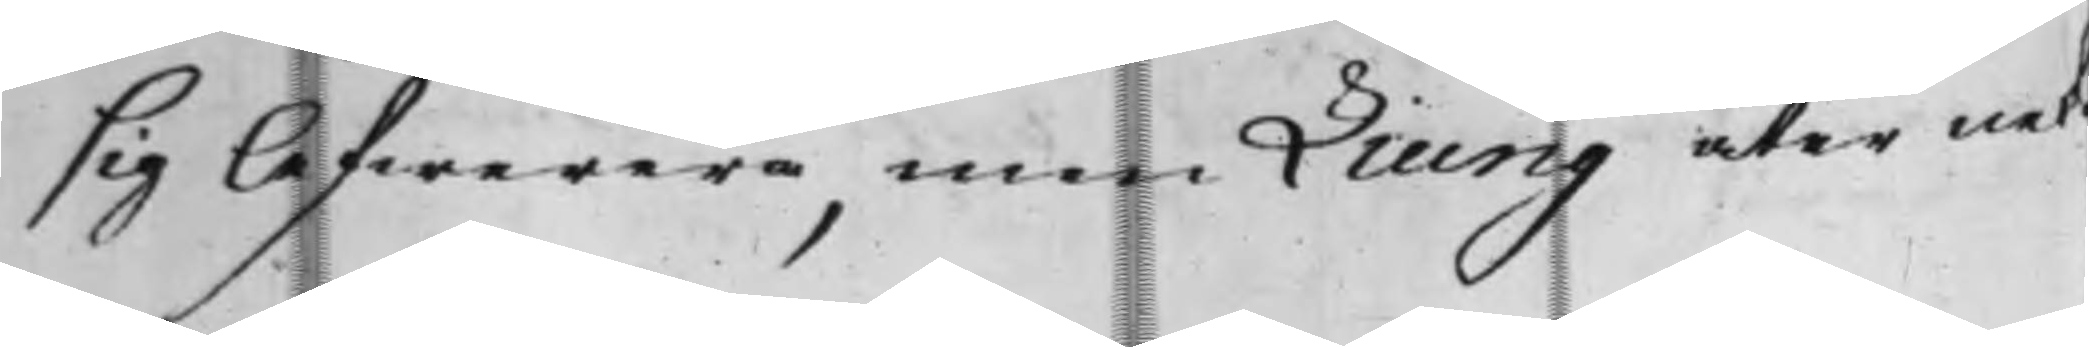sig lefwerera, men Liung åter neka
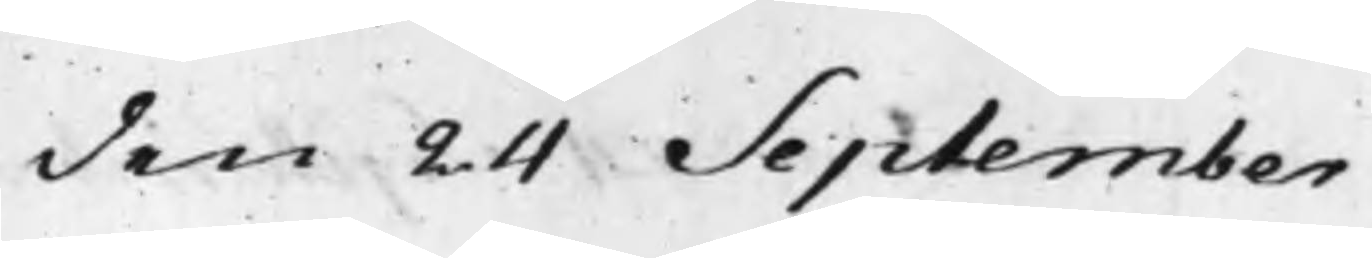den 24. September
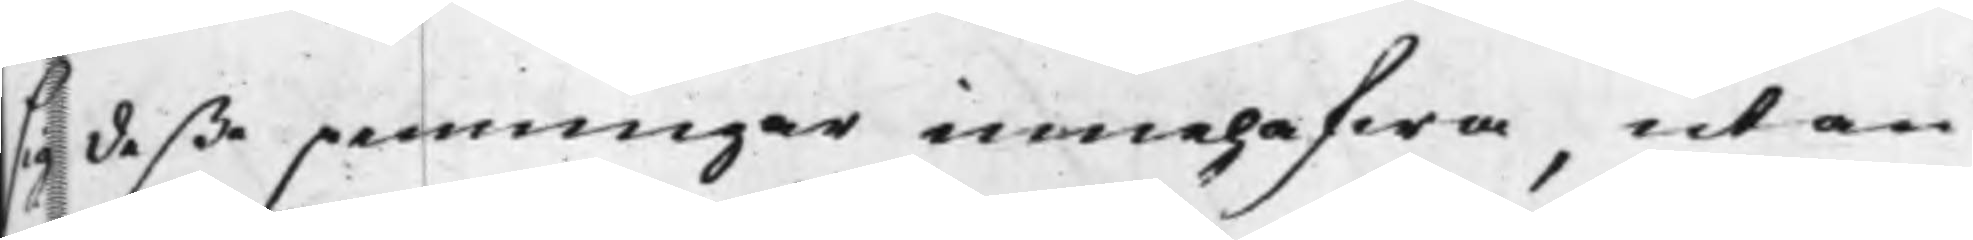deße penningar innehafwa, utan
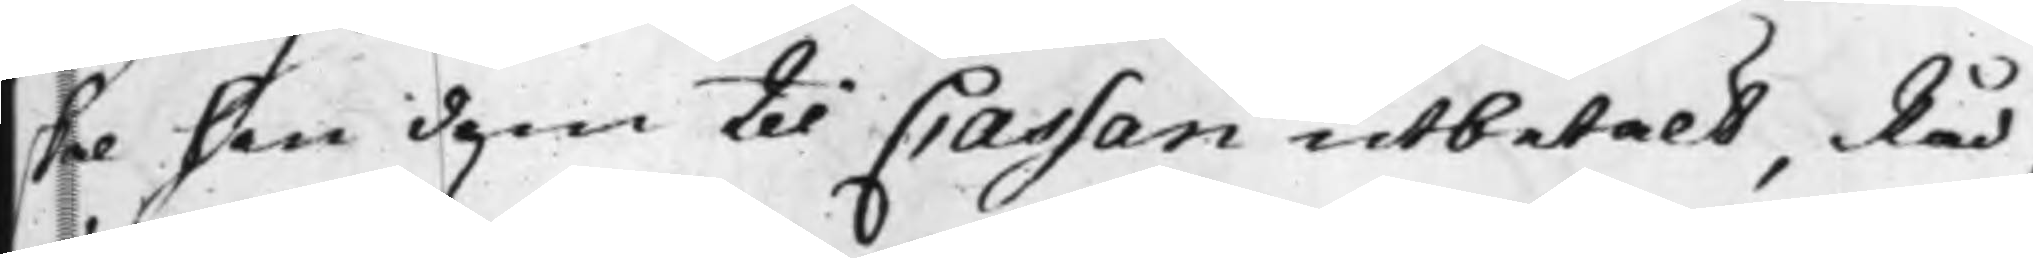skal han dem til Cassan utbetalt, Råd¬
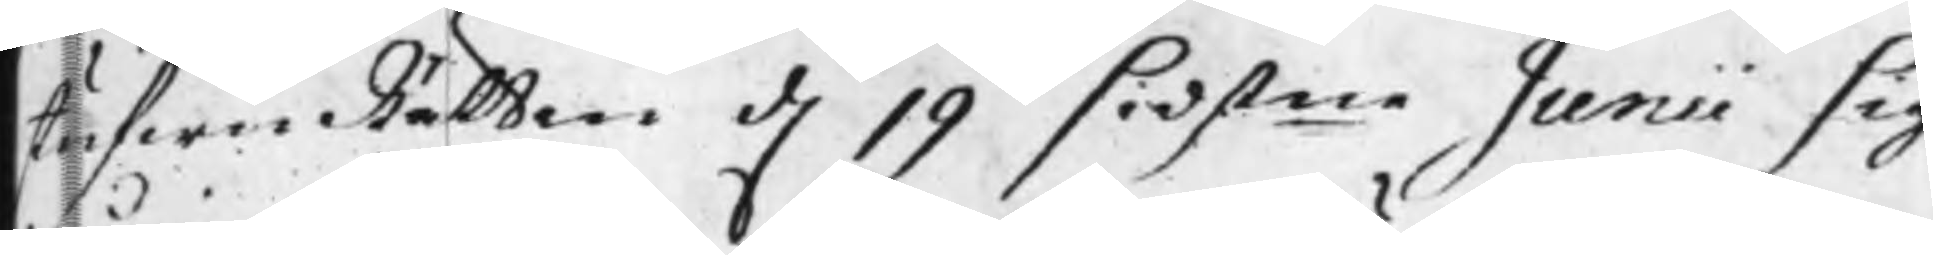stufwuRätten d. 19 sidstne Junii sig
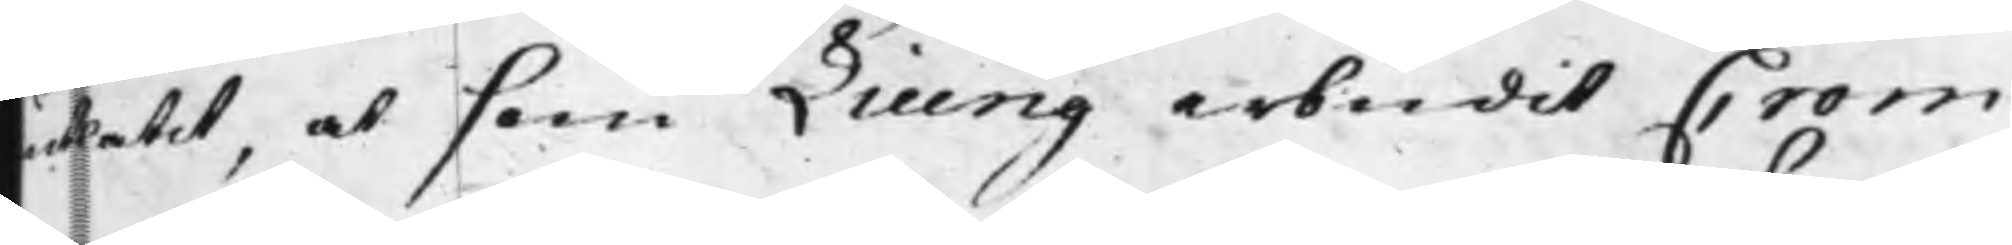utlåtit, at som Liung erbudit Crom
